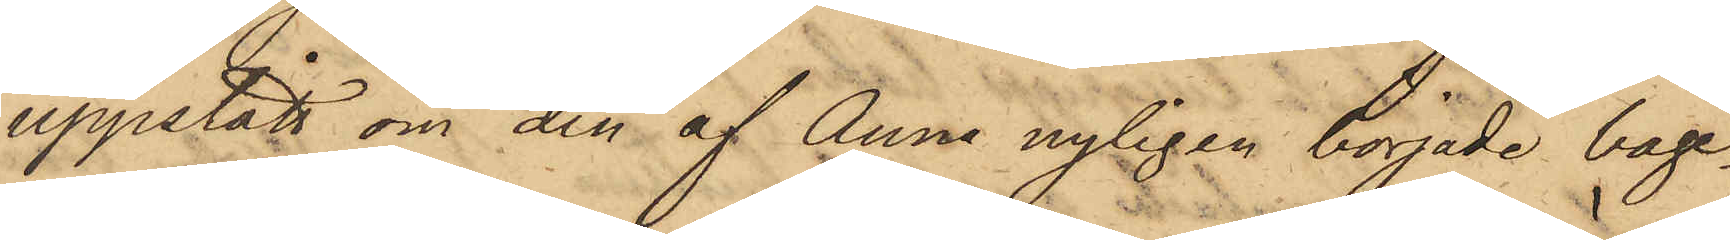uppstått om den af Anna nyligen började bage¬
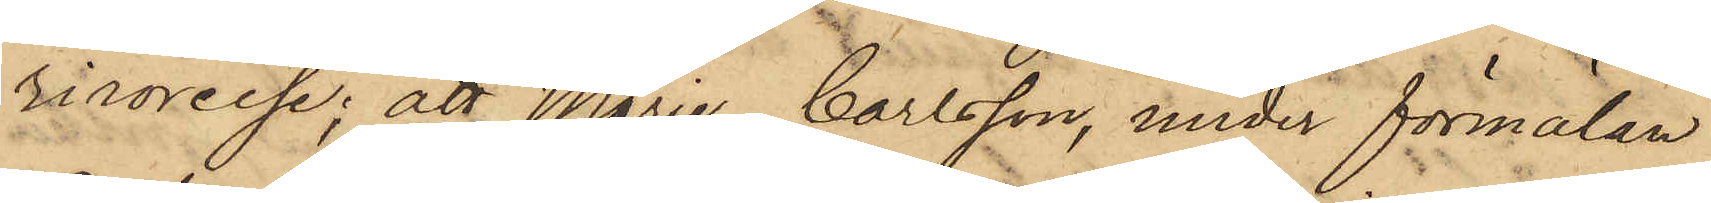rirörelse; att Marie Carlsson, under förmälan
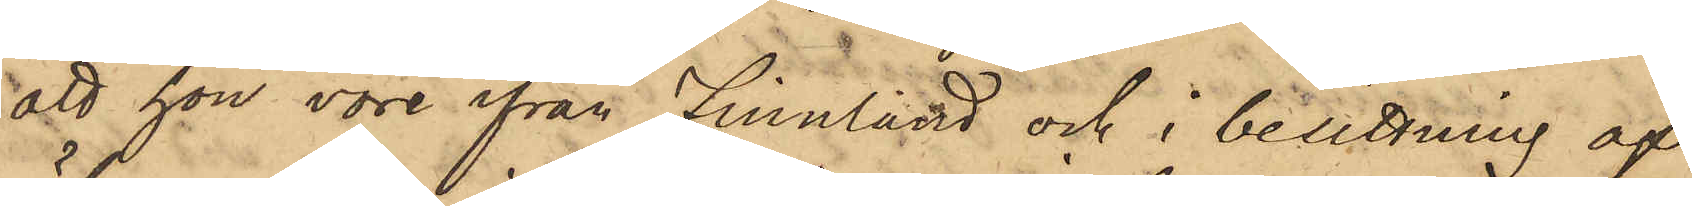att hon vore ifrån Finnland och i besittning af
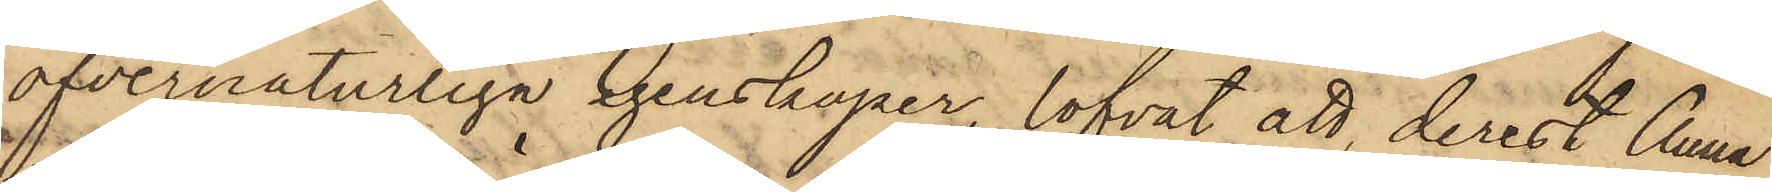öfvernaturliga egenskaper, lofvat att, derest Anna
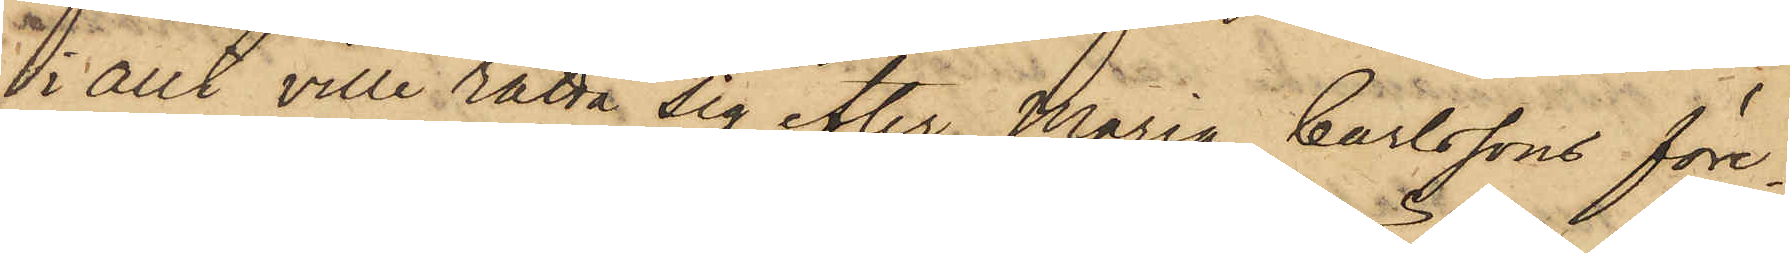i allt ville rätta sig efter Maria Carlssons före¬
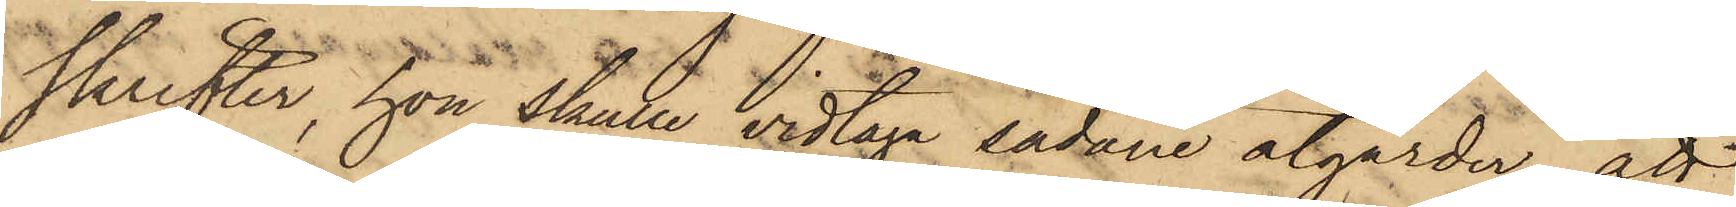skrifter, hon skulle vidtaga sådane åtgärder; att
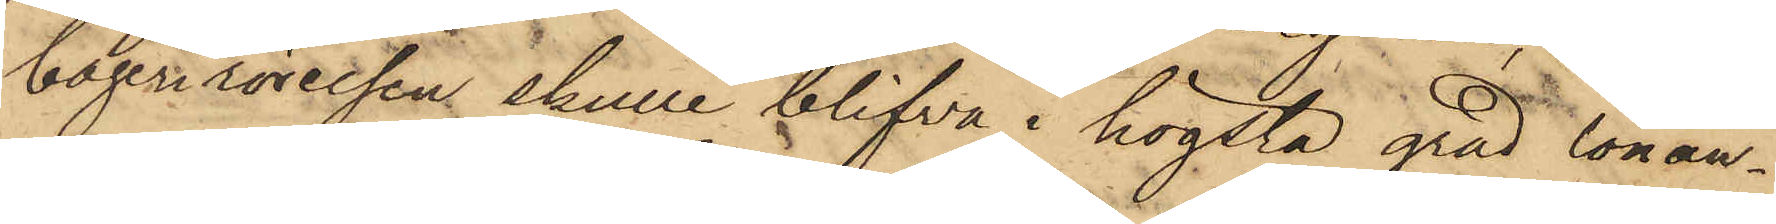bagerirörelsen skulle blifva i högsta grad lönan¬
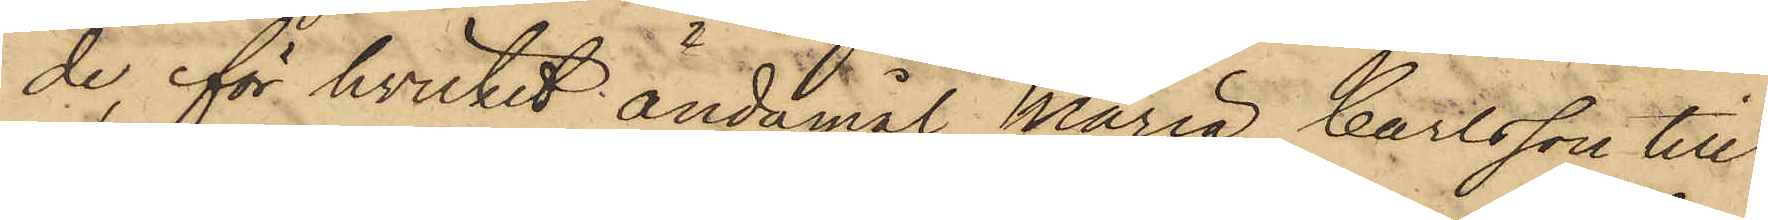de, för hvilket ändamål Maria Carlsson till
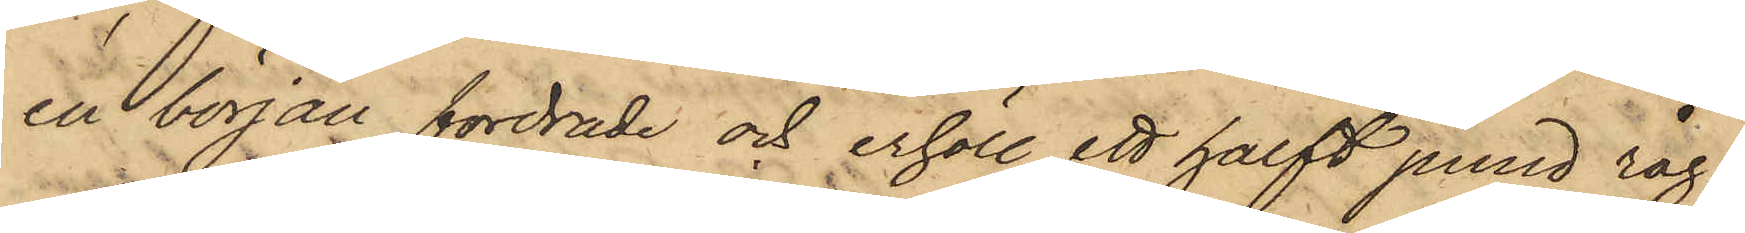en början fordrade och erhöll ett halft pund råg¬
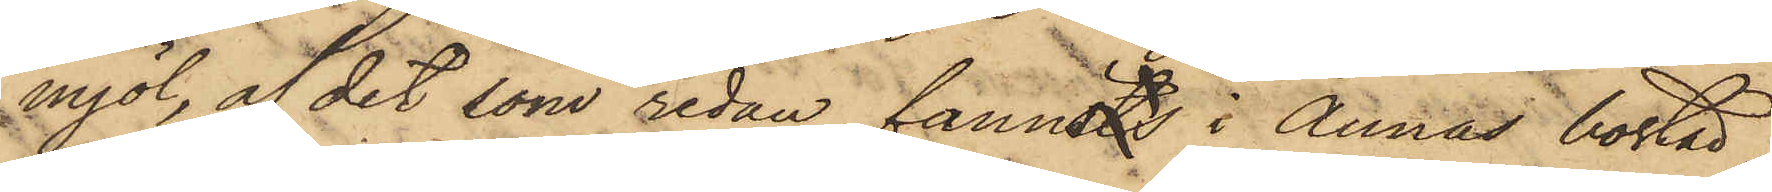mjöl, af det som redan fannsts i Annas bostad,
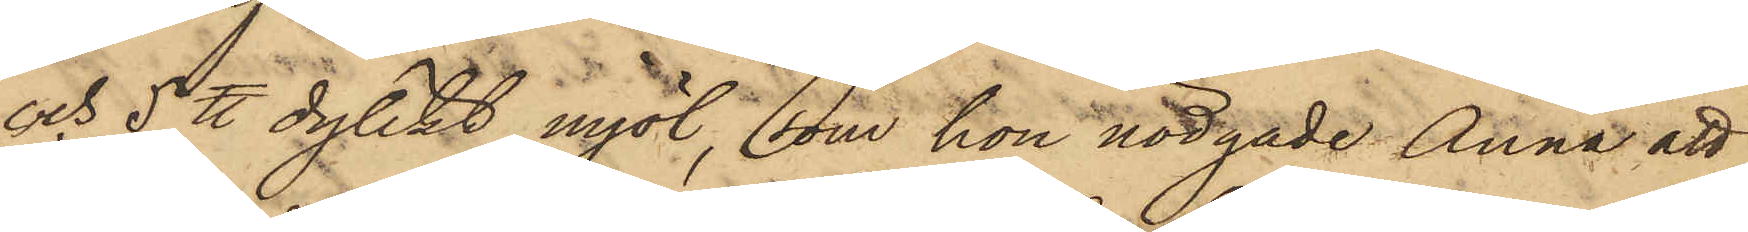och 5 ℔ dylikt mjöl, som hon nödgade Anna att
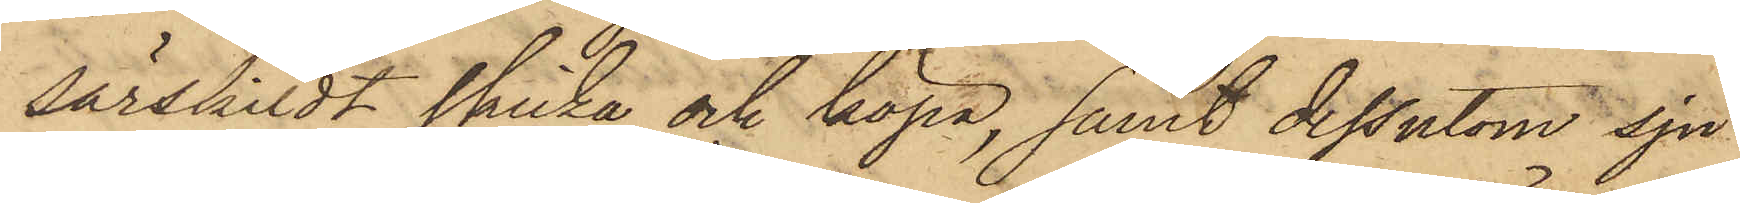särskildt skicka och köpa, samt dessutom sju
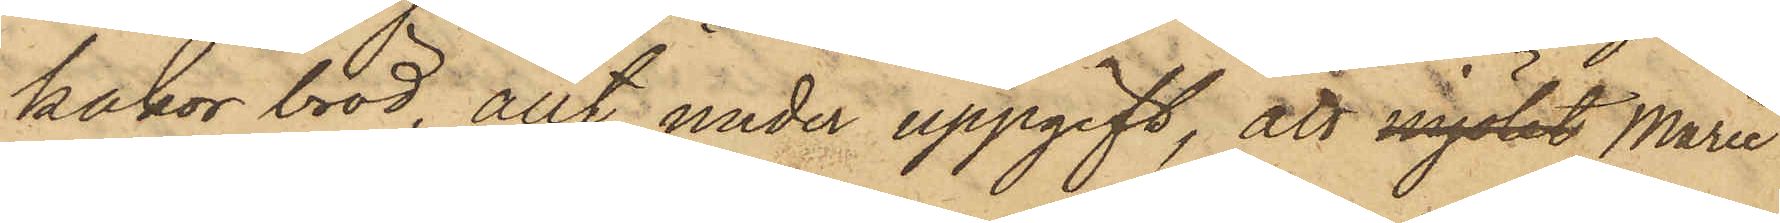kakor bröd, allt under uppgift, att mjölet Marie
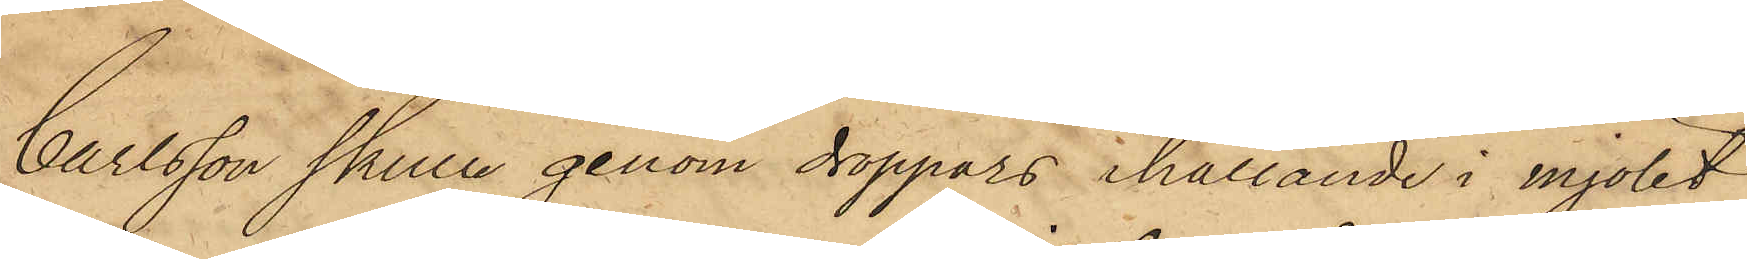Carlsson skulle genom droppars ihällande i mjölet
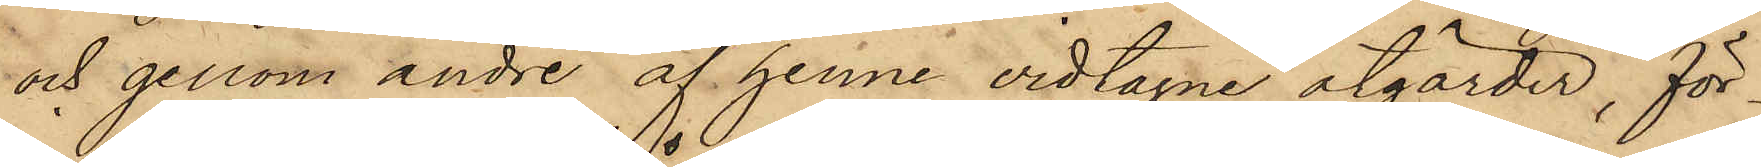och genom andre af henne vidtagne åtgärder, för¬
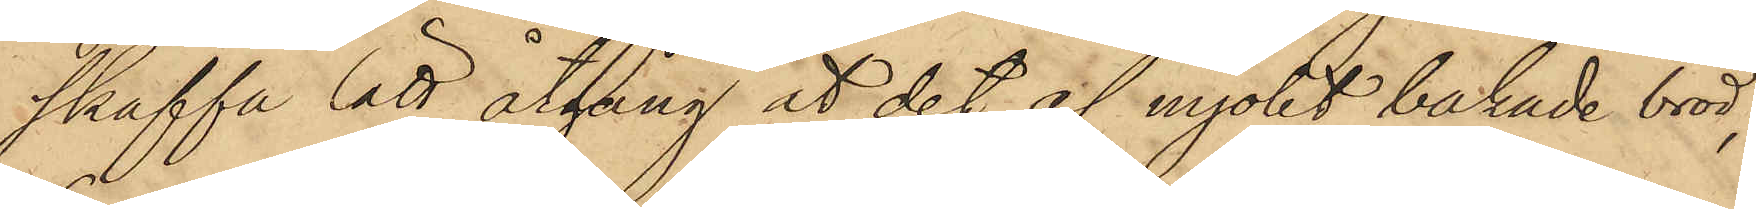skaffa lätt åtgång åt det af mjölet bakade bröd;
